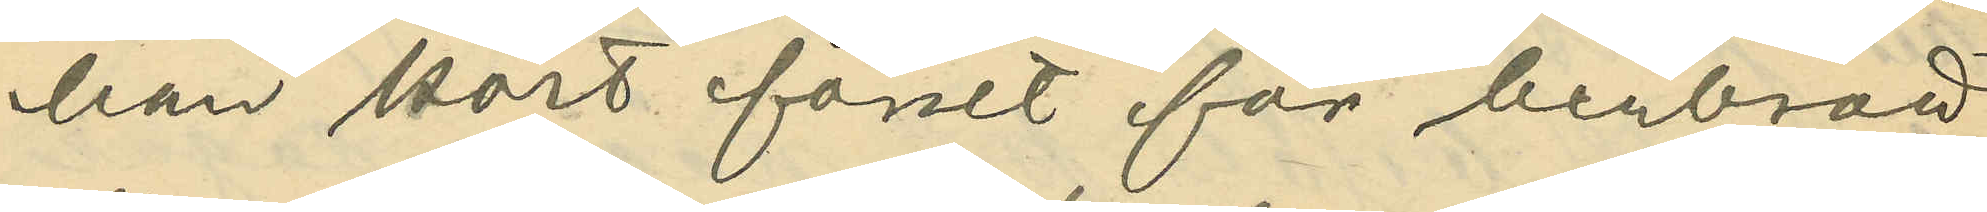han kort förut för benbrott
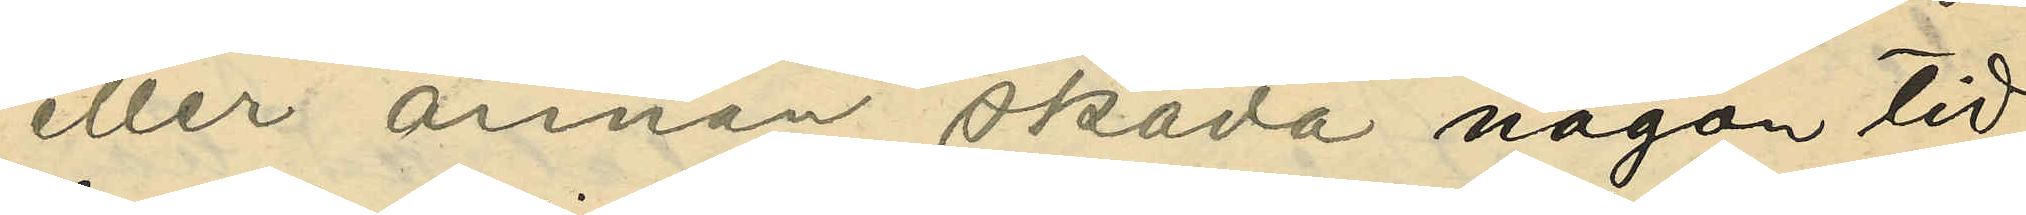eller annan skada någon tid
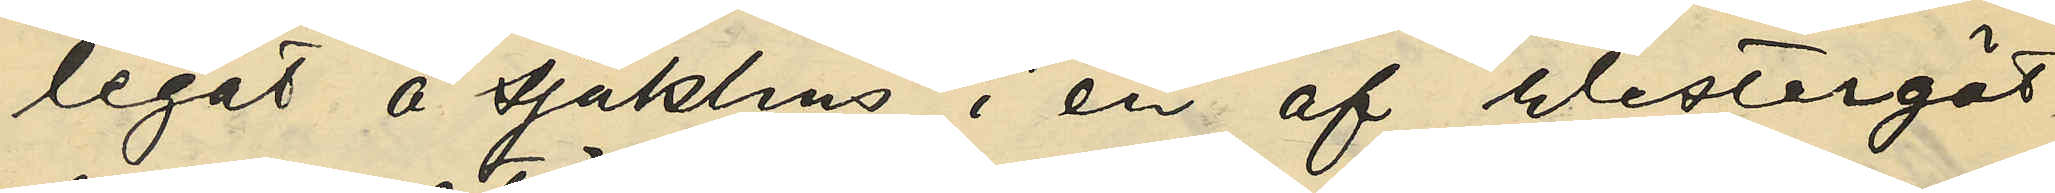legat å sjukhus i en af Westergöt¬
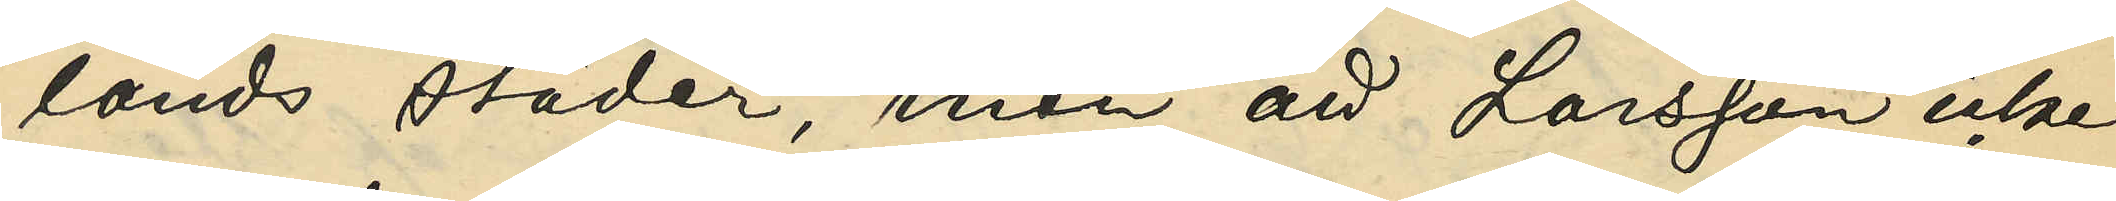lands städer, men att Larsson icke
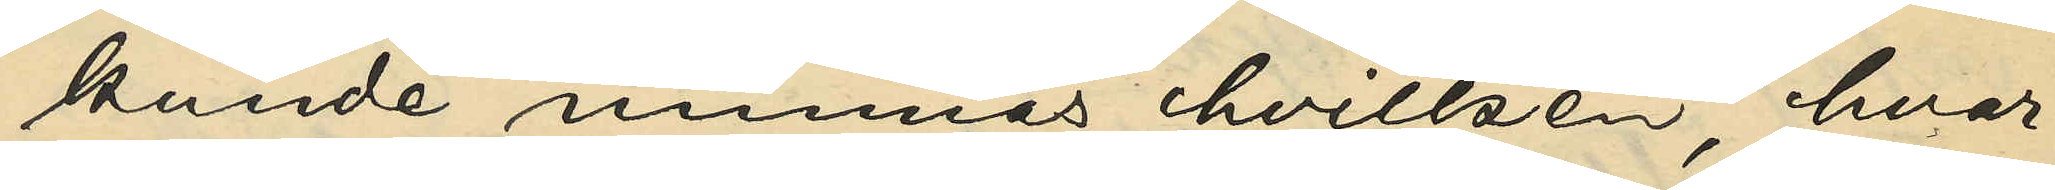kunde minnas hvilken, hvar¬
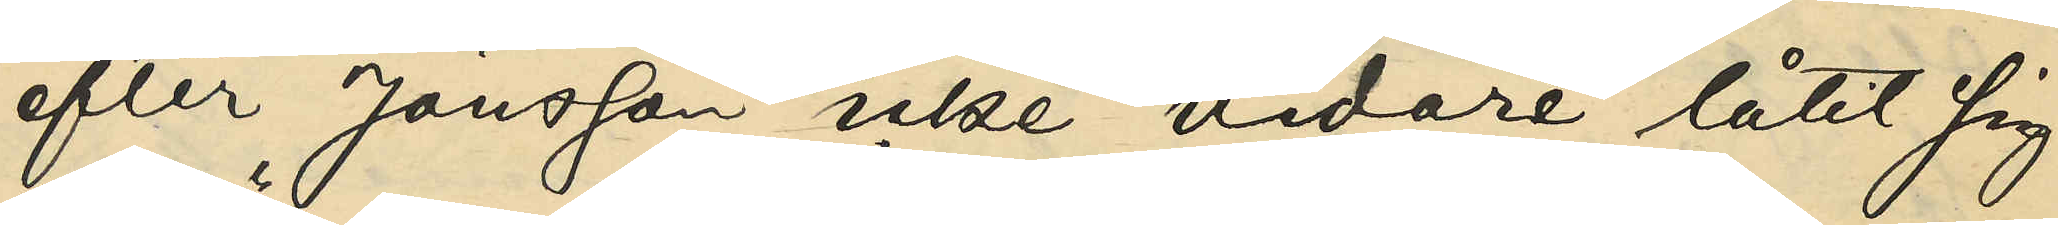efter Jönsson icke vidare låtit sig
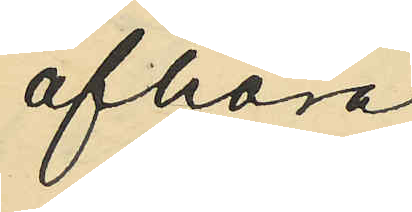afhöra.
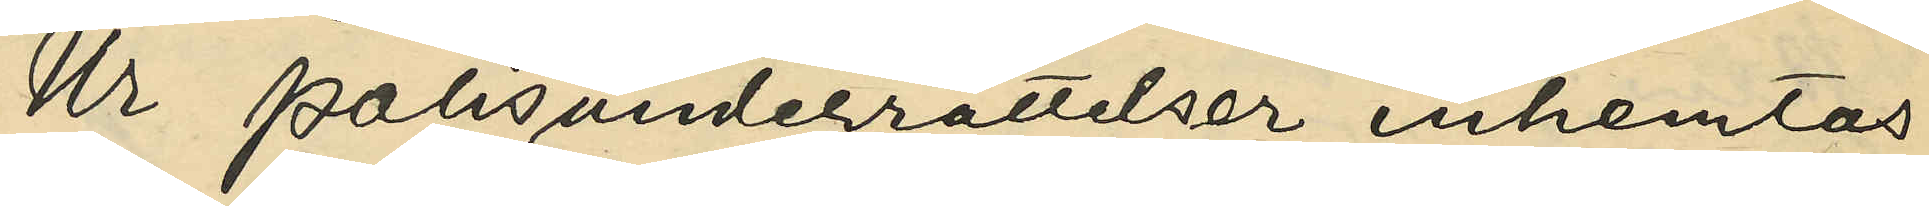Ur Polisunderrättelser inhemtas
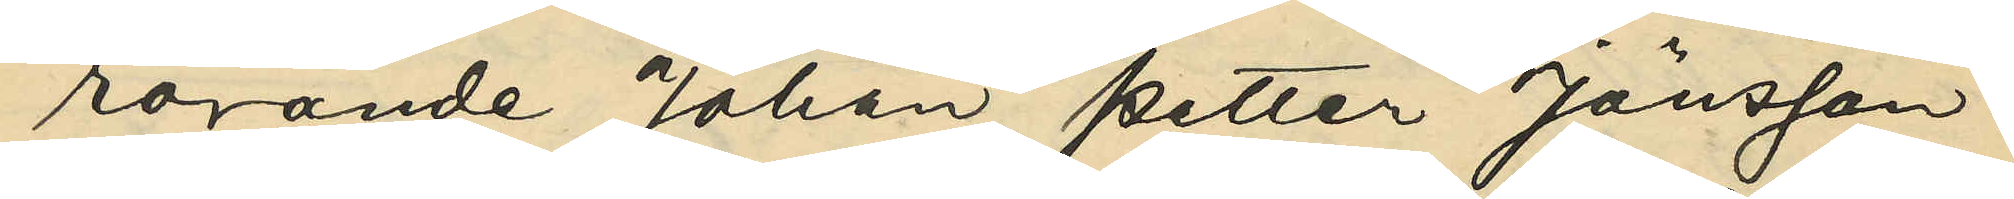rörande Johan Petter Jönsson:
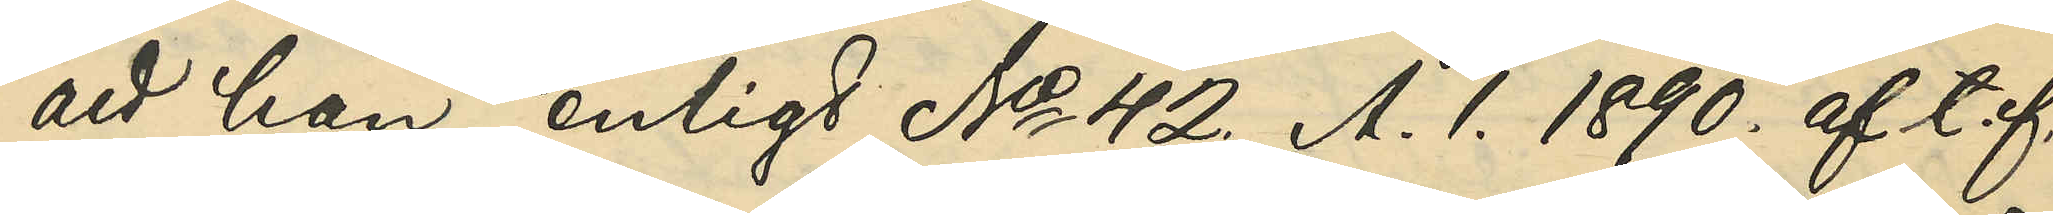att han enligt No 42. A. 1. 1890. af t.f.
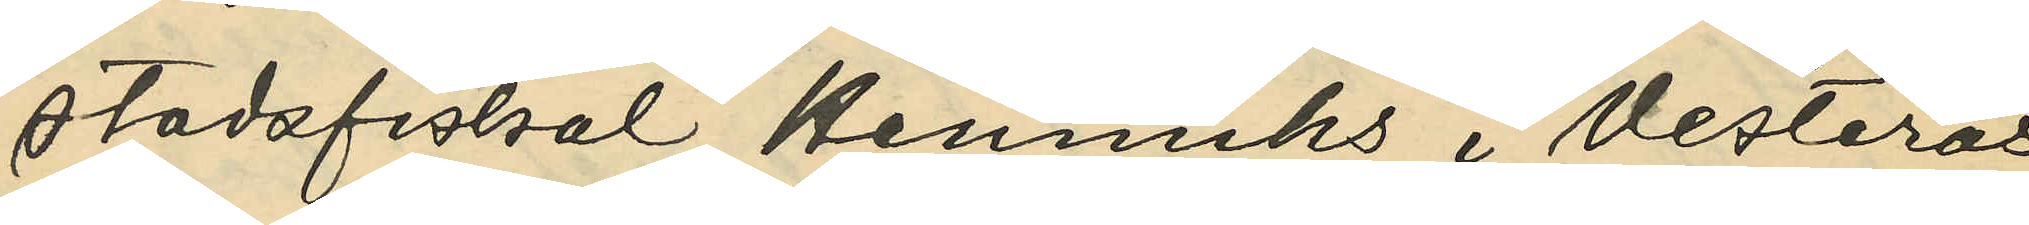stadsfiskal Hennichs i Vesterås
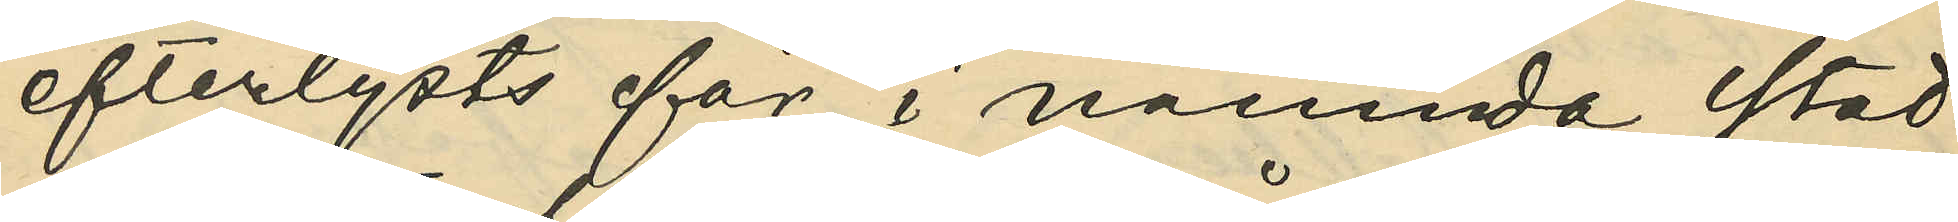efterlysts för i nämnda stad
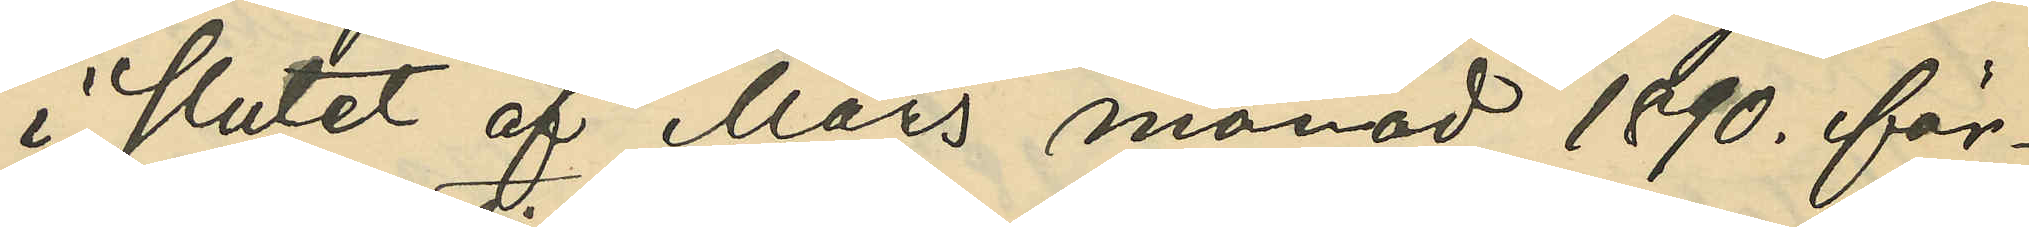i slutet af Mars månad 1890. för¬
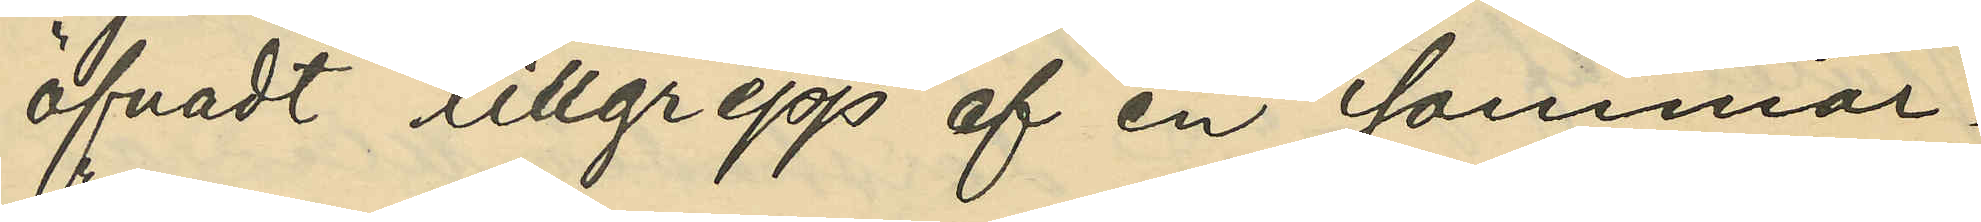öfvadt tillgrepp af en sommar¬
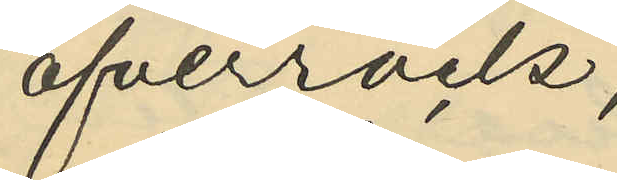öfverrock;
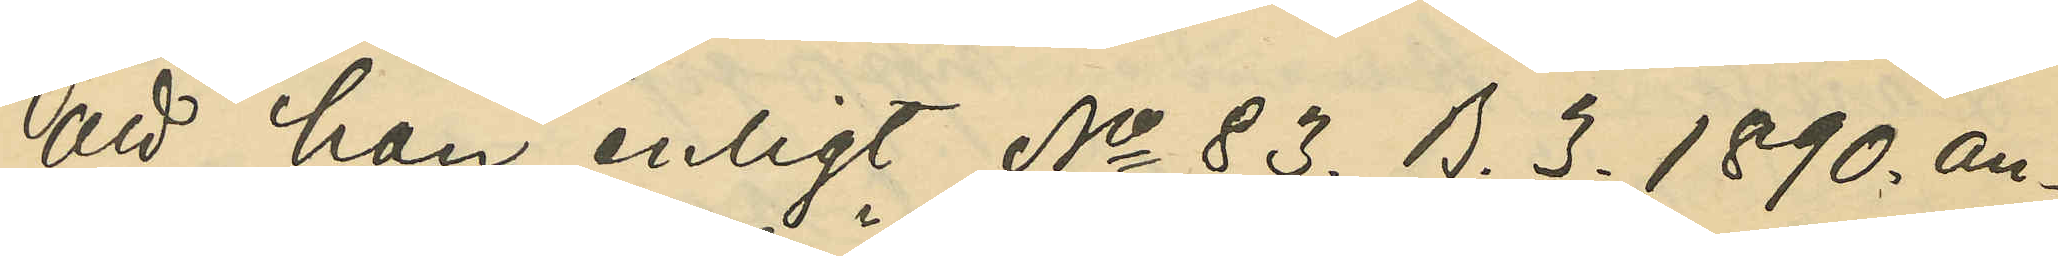att han enligt No 83. B. 3. 1890. an¬
